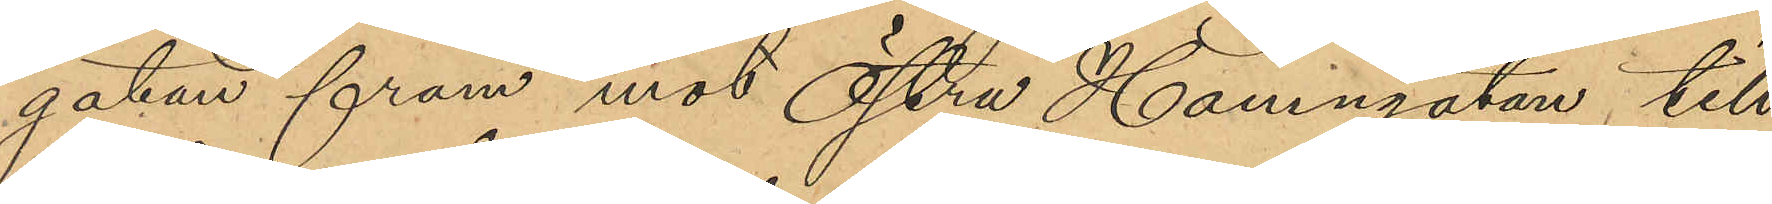gatan fram mot Östra Hamngatan till,
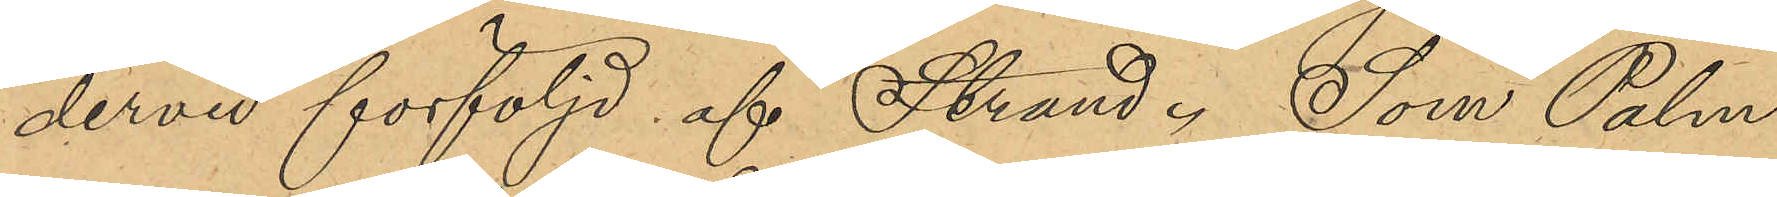dervid förföljd af Strand. Som Palm
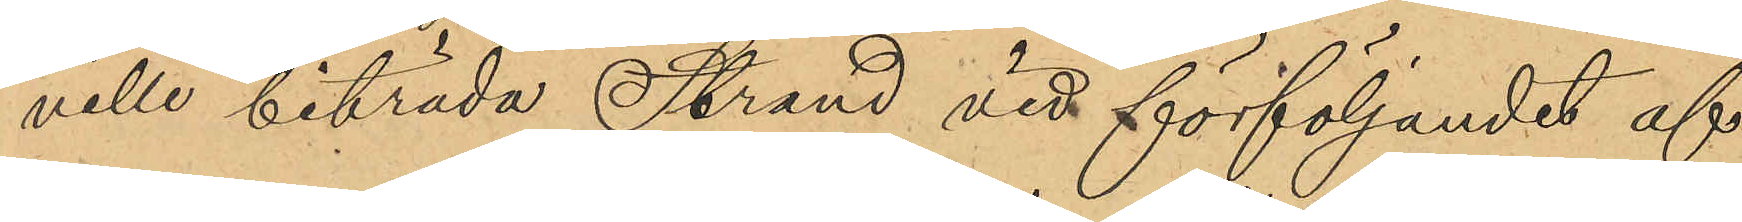ville biträda Strand vid förföljandet af 
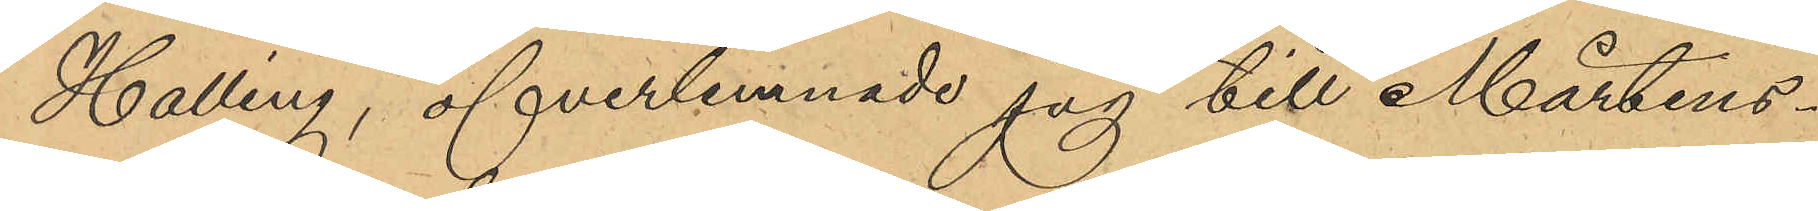Halling, öfverlemnade jag till Mårtens¬
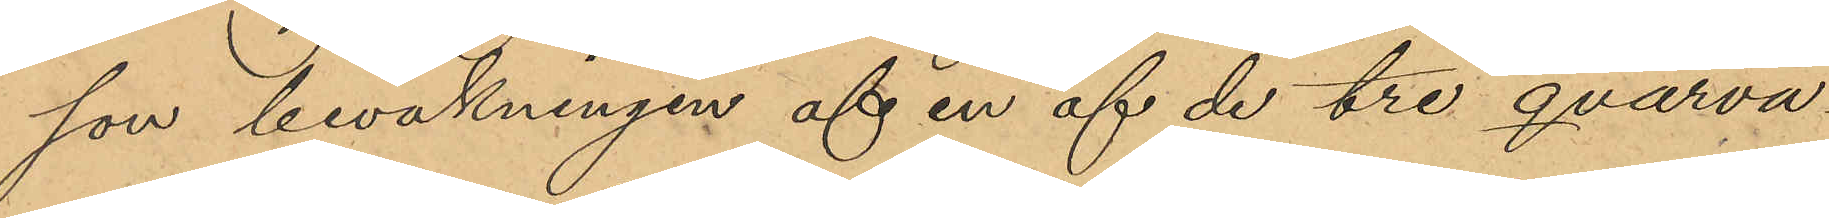son bevakningen af en av de tre qvarva¬
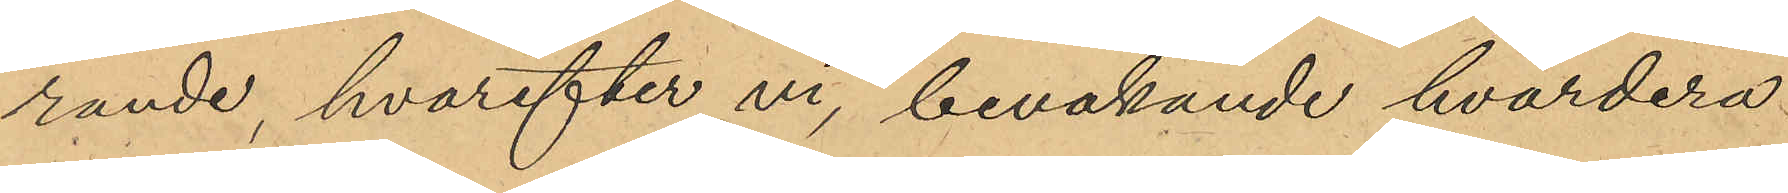rande, hvarefter vi, bevakande hvardera
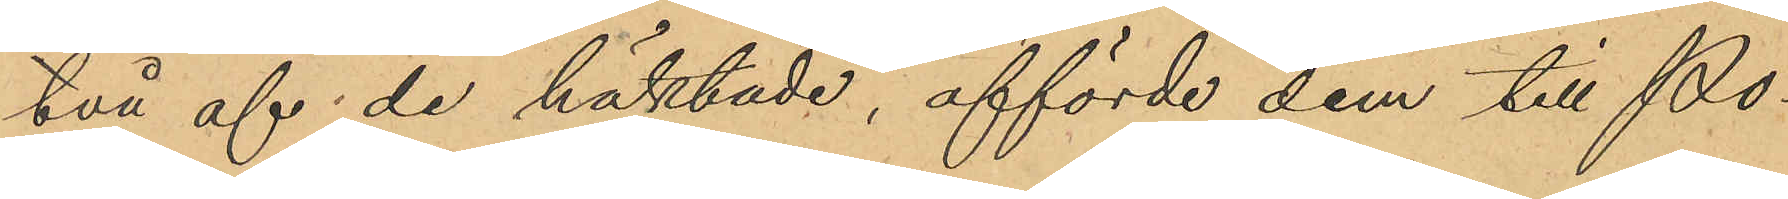två af de häktade, afförde dem till Po¬
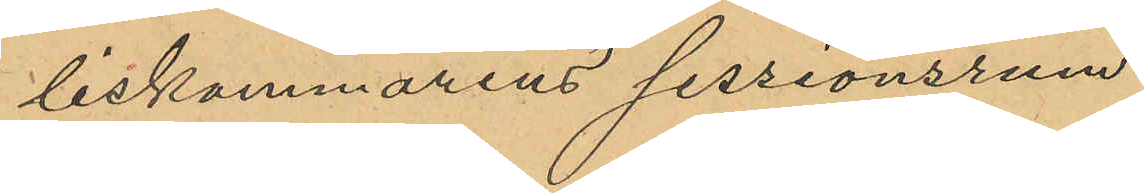liskammarens sessionsrum.
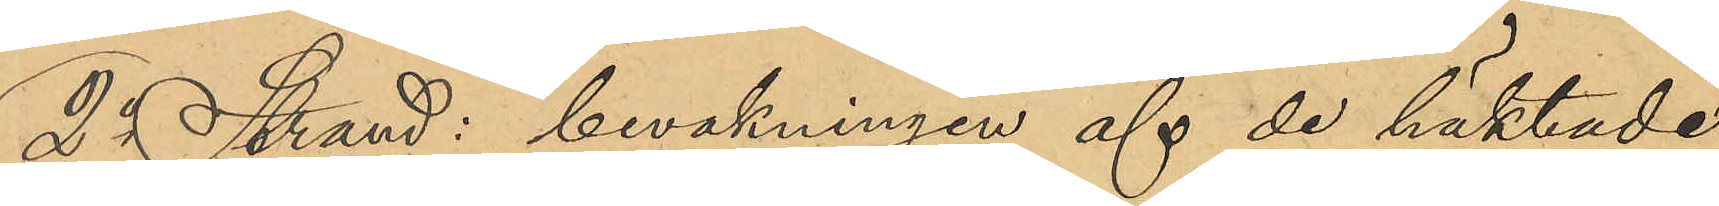2o Strand: bevakningen af de häktade
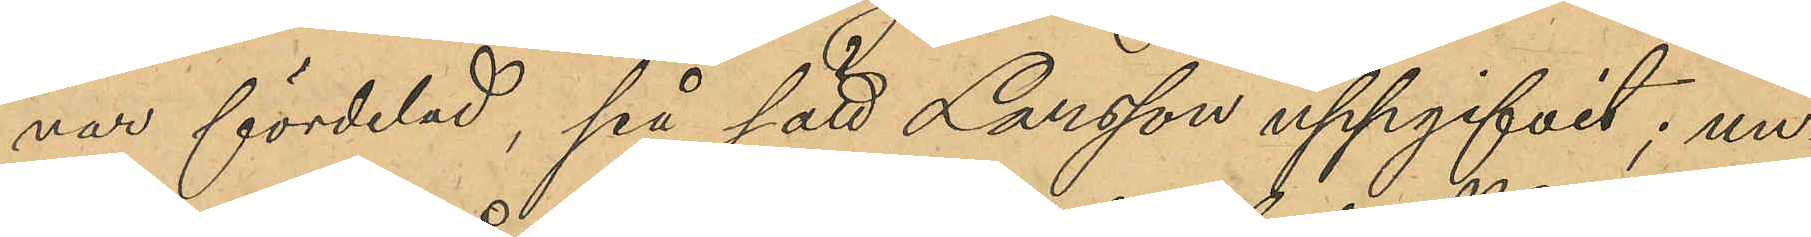var fördelad, på sätt Larsson uppgifvit, un¬
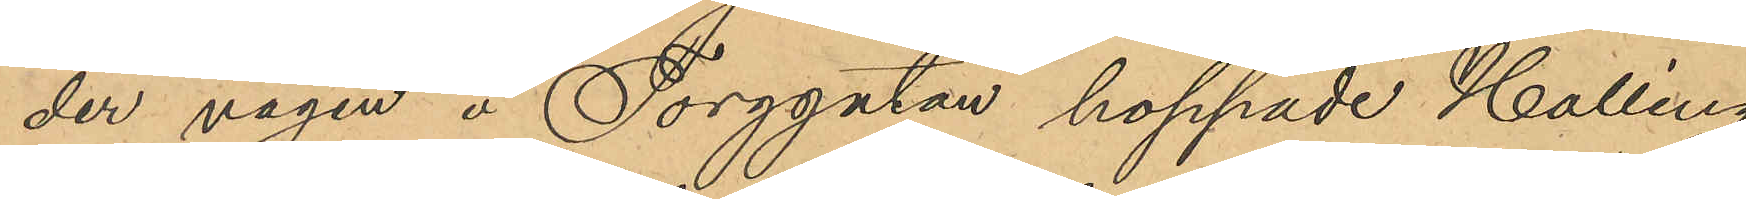der vägen å Torggatan hoppade Halling
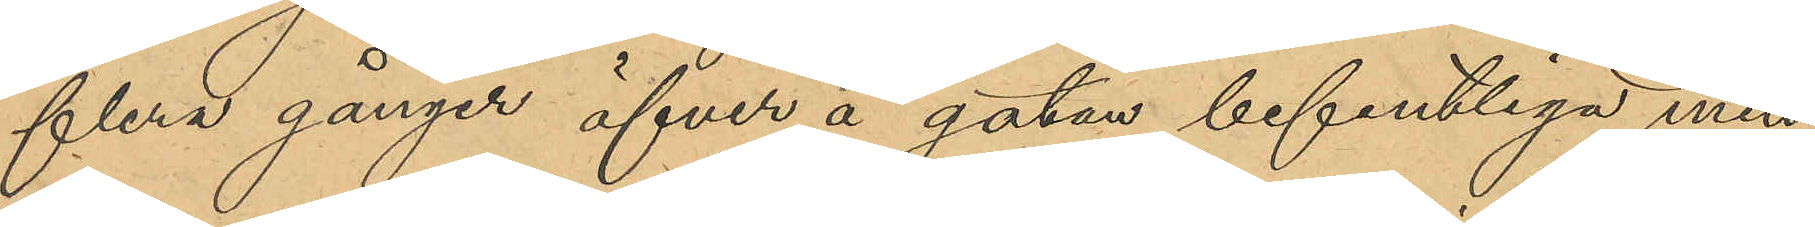flera gånger öfver å gatan befintliga min¬
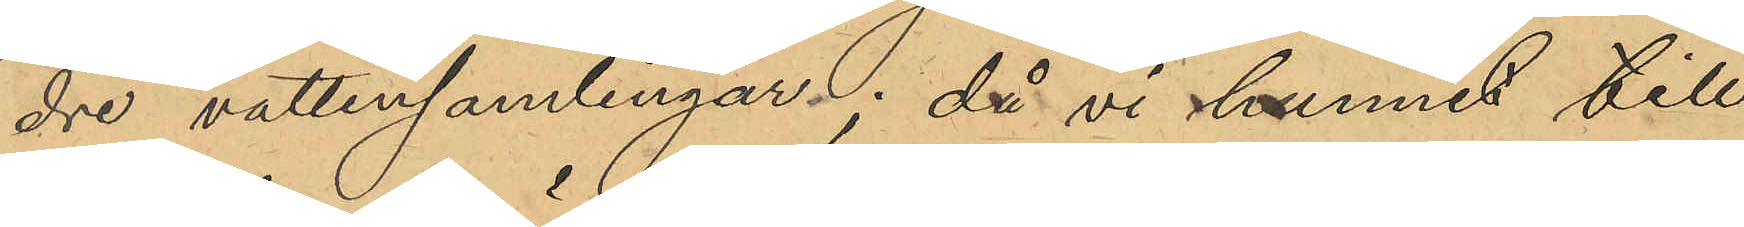dre vattensamlingar; då vi hunnit till
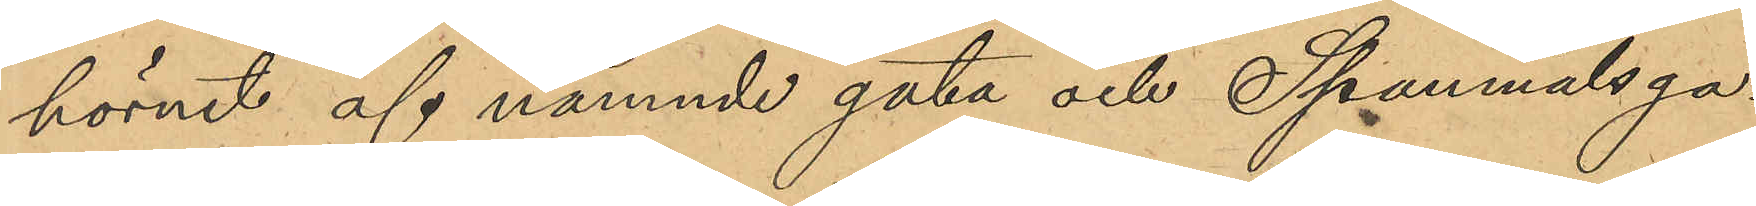hörnet af nämnde gata och Spannmålsga¬
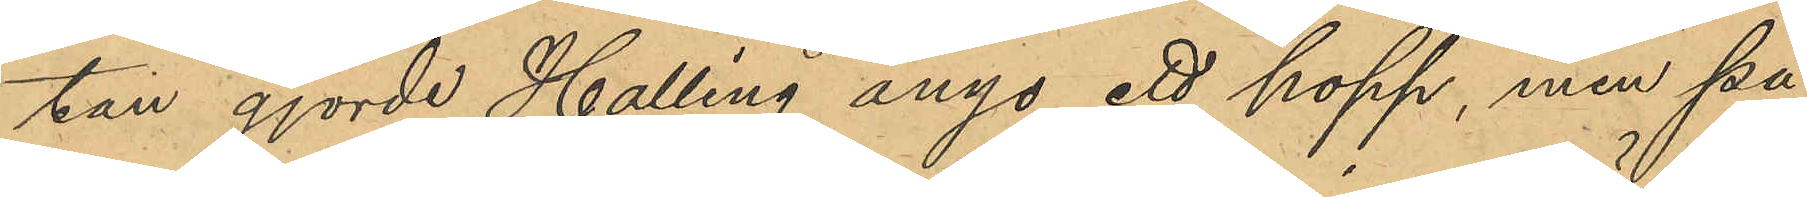tan gjorde Halling ånyo ett hopp, men på
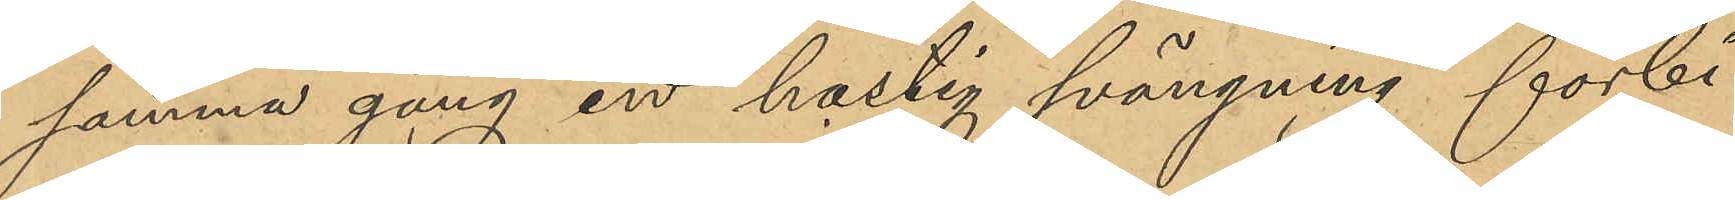samma gång en hastig svängning förbi
